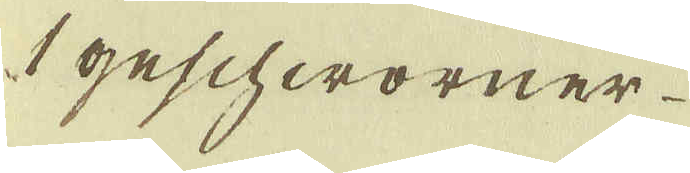1 Geschworner
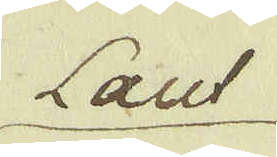Laut
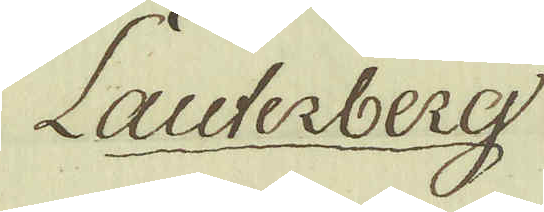Lauterberg
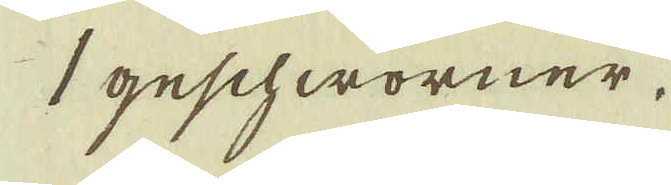1 geschworner
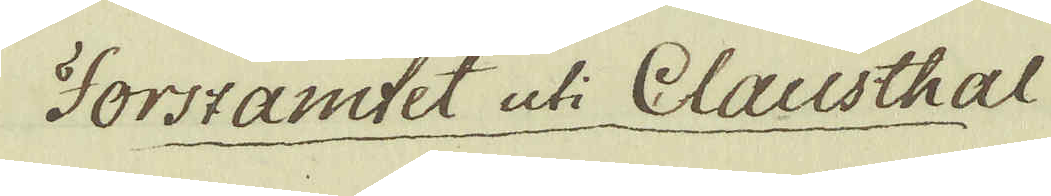Forszamtet uti Clausthal
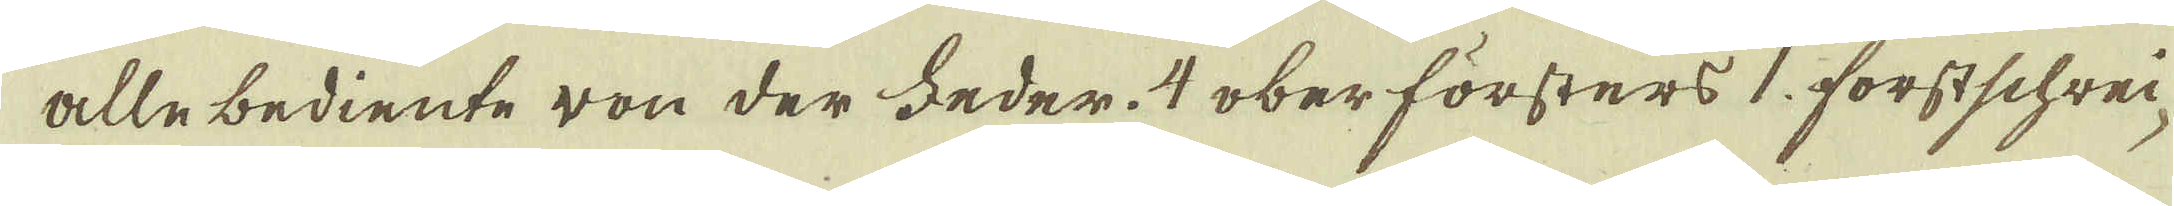alle bediente von der feder. 4 ober försters 1. forstschrei-
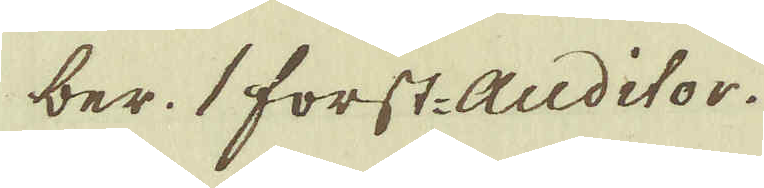ber. 1 forst-Auditor.
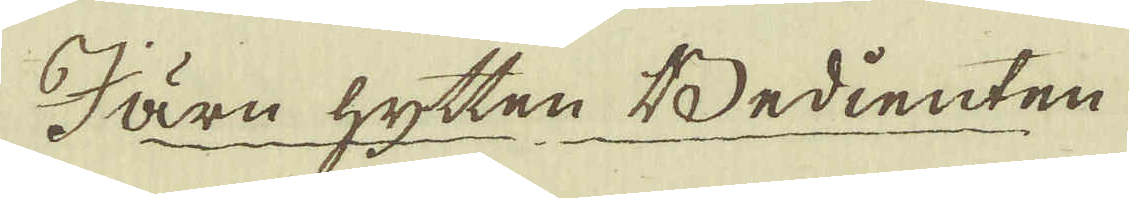Järn hytten Bedienten
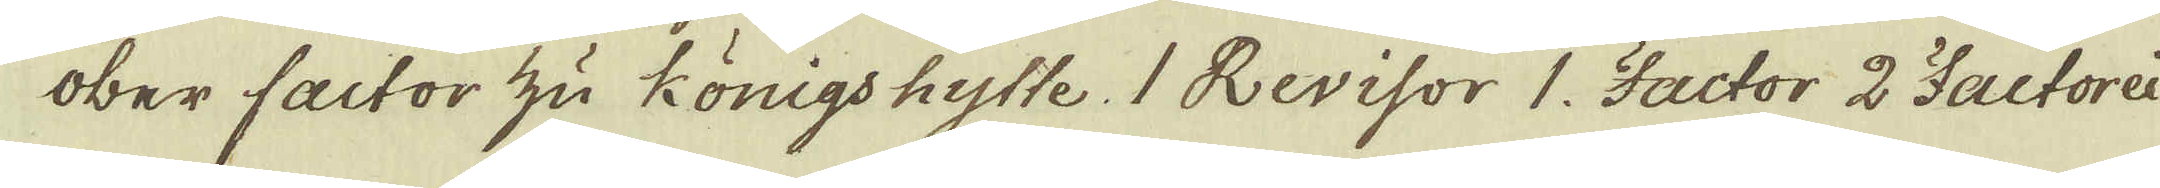Ober factor zu Königs hytte. 1 Revisor 1. Factor 2 Factorei
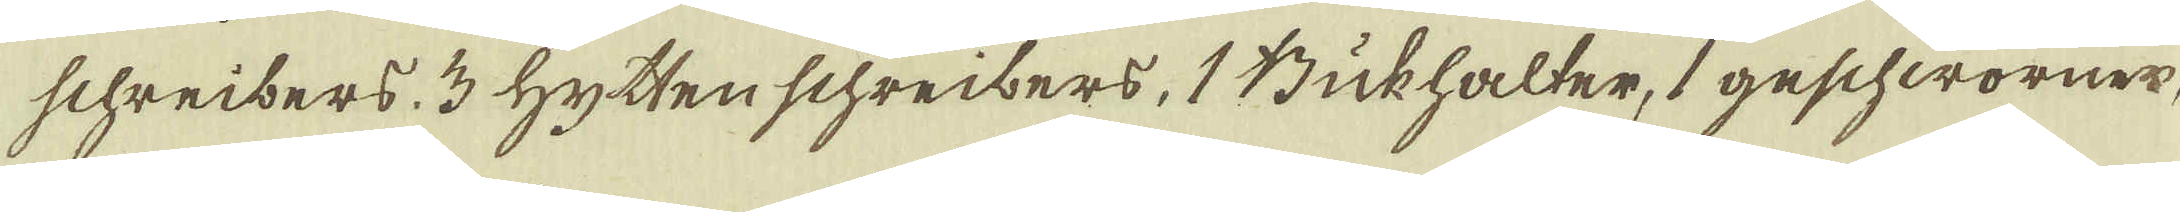schreibers 3 Hytten schreibers, 1 Bukhalter, 1 geschworner,
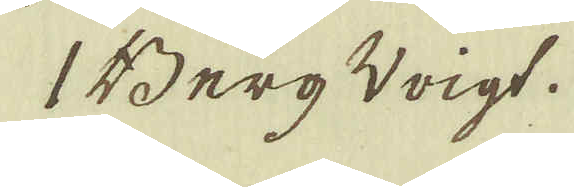1 Berg Voigt.
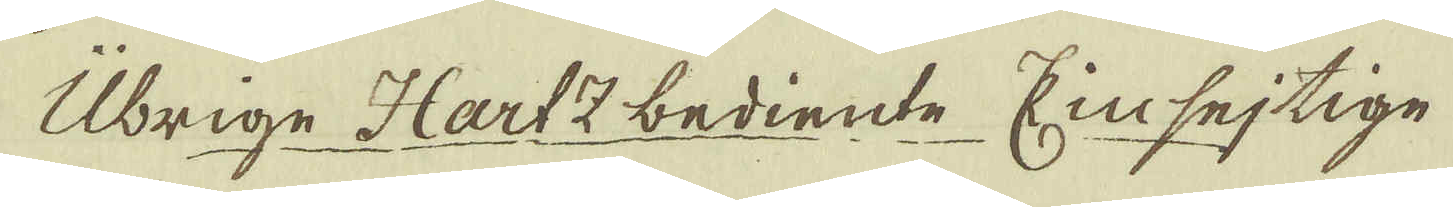Übrige Hartz bediente Einsejtige
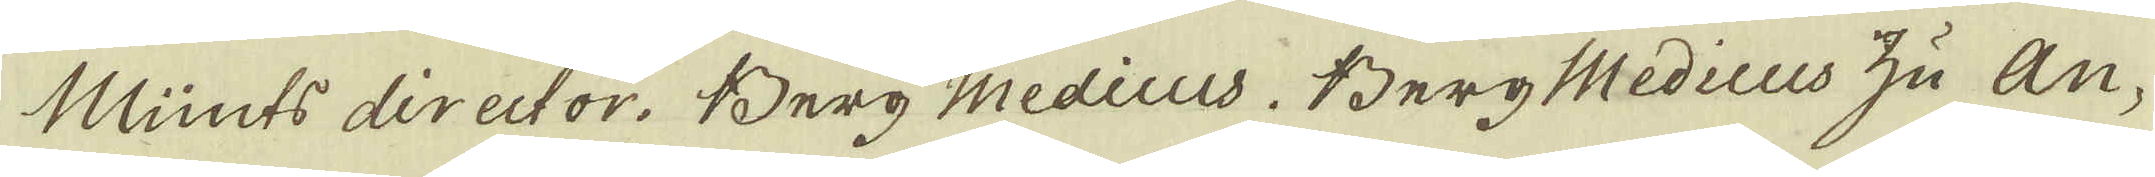Münts director. Berg Medicus. Berg Medicus zu An-
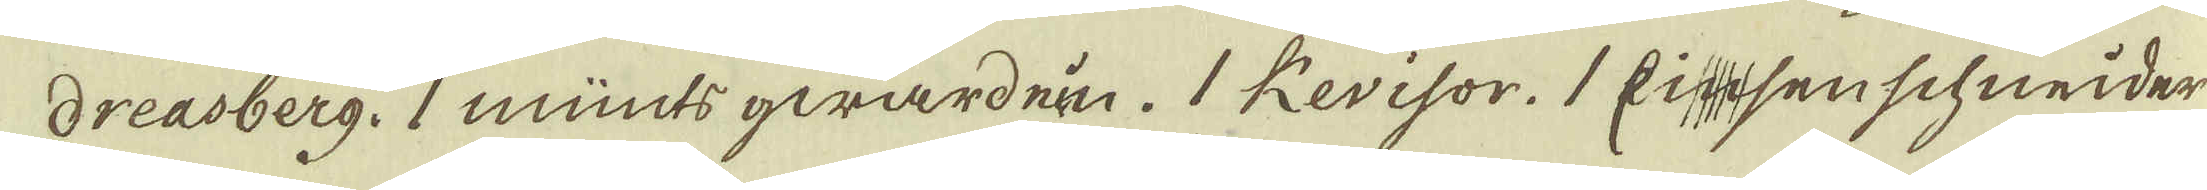dreasberg. 1 münts gwardein. 1 Revisor. 1 Eisenschneider
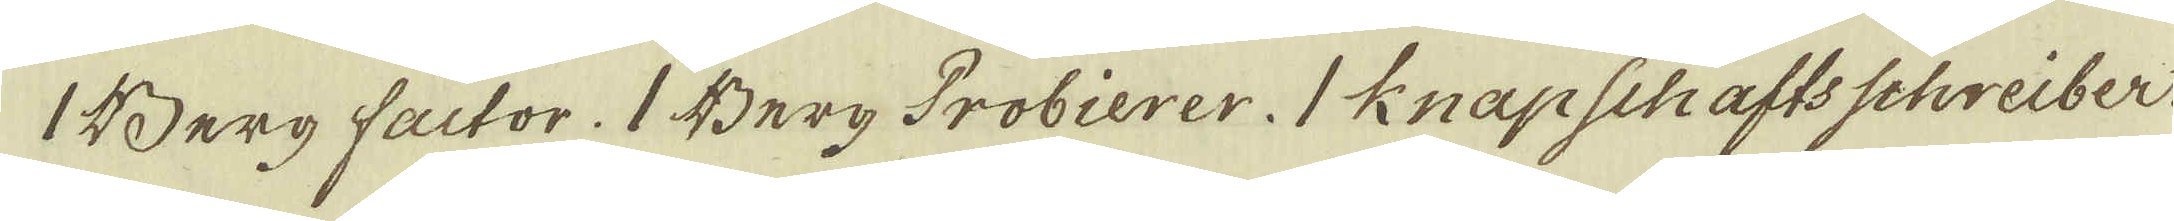1 Berg factor. 1 Berg Probierer. 1 Knapschafts Schreiber.
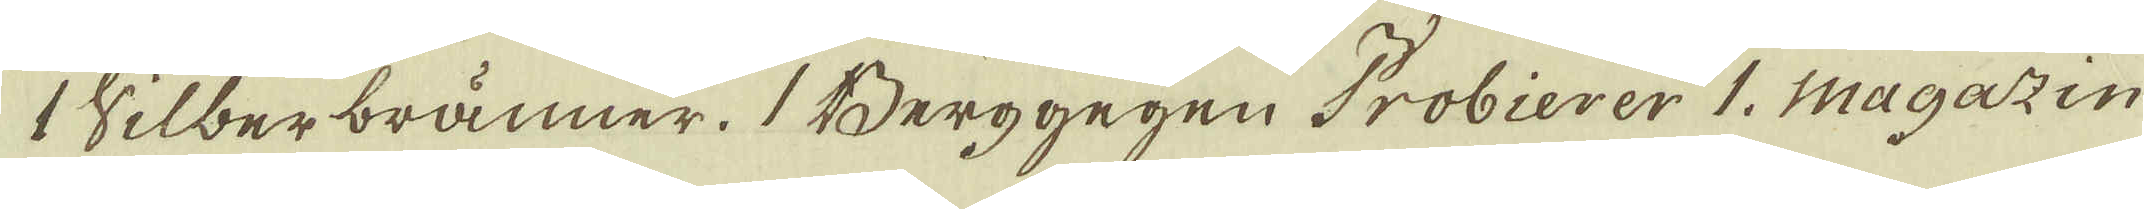Silberbränner. 1 Berggegen Probierer 1. Magazin
